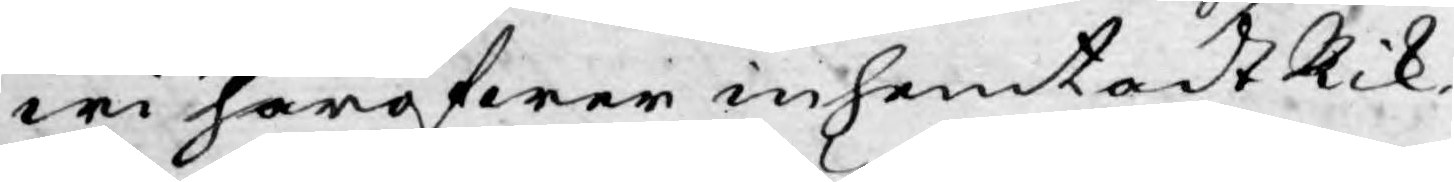wi häröfwer inhemtadt Rik¬
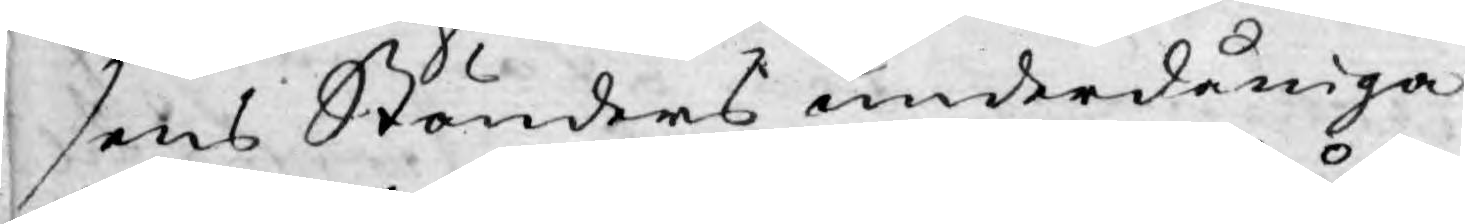sens Ständers underdåniga
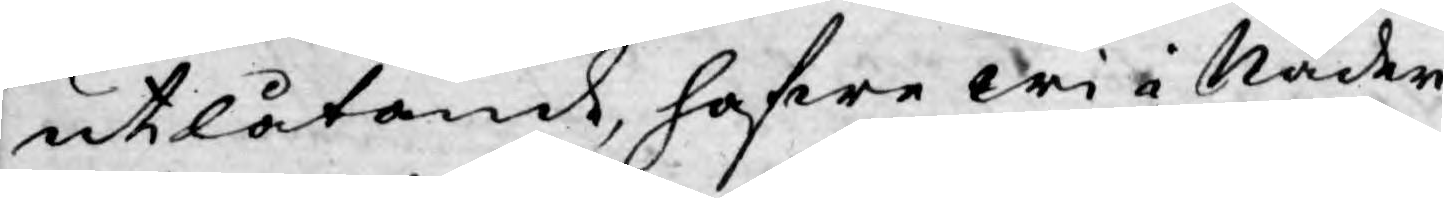utlåtande, hafwa wi i Nåder
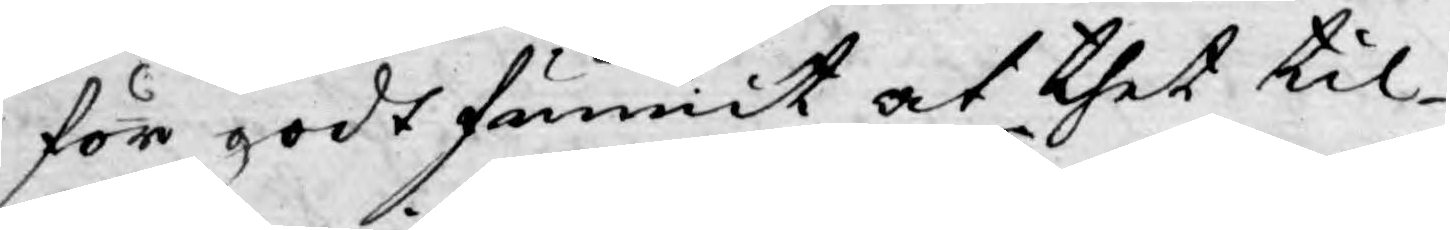för godt funnit, at thet til¬
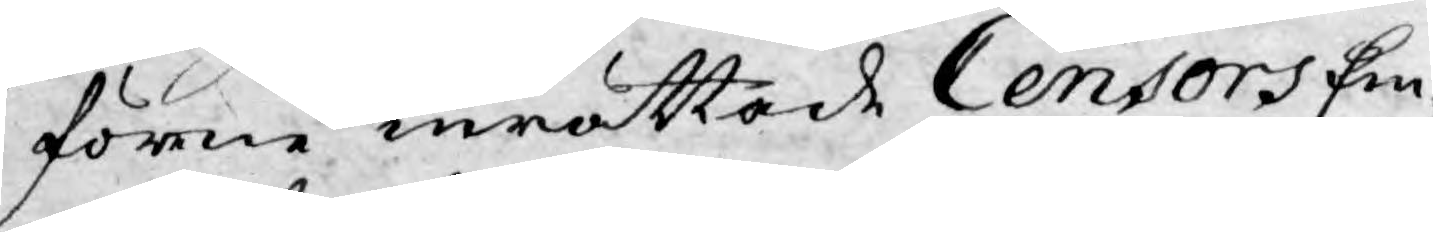förne inrättade Censors Em¬
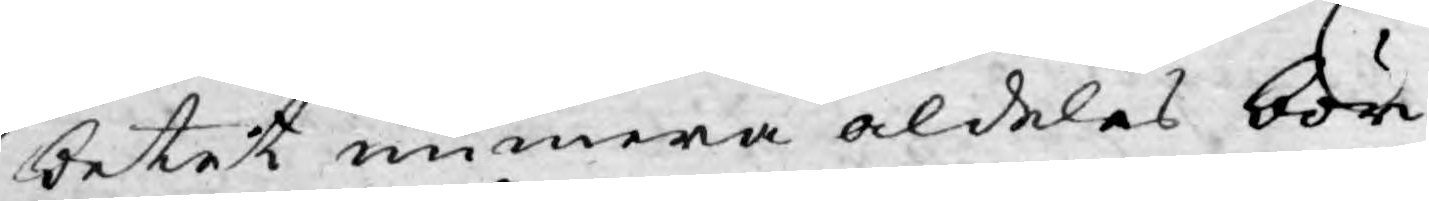betet numera aldeles bör
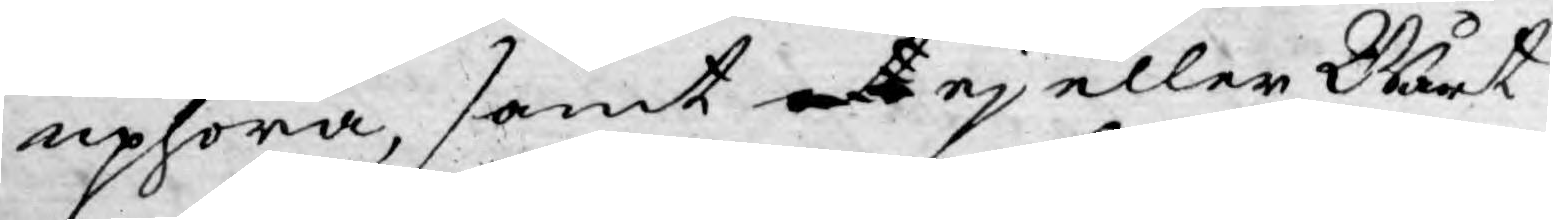uphöra, samt at ej eller Wårt
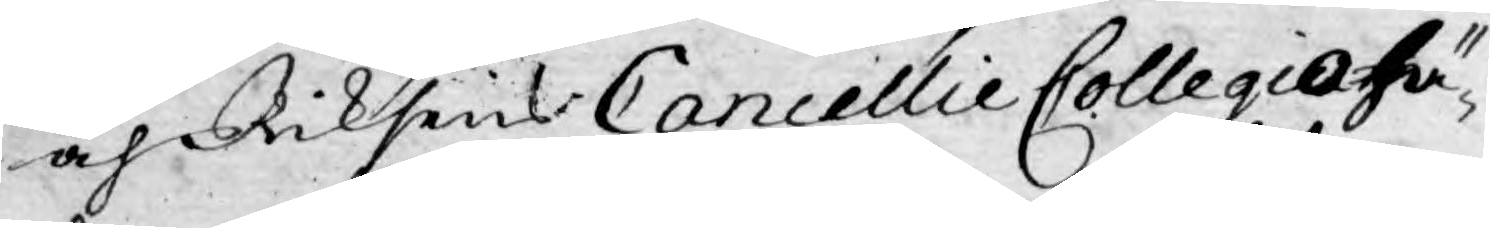och Riksens Cancellie Collegio hä¬
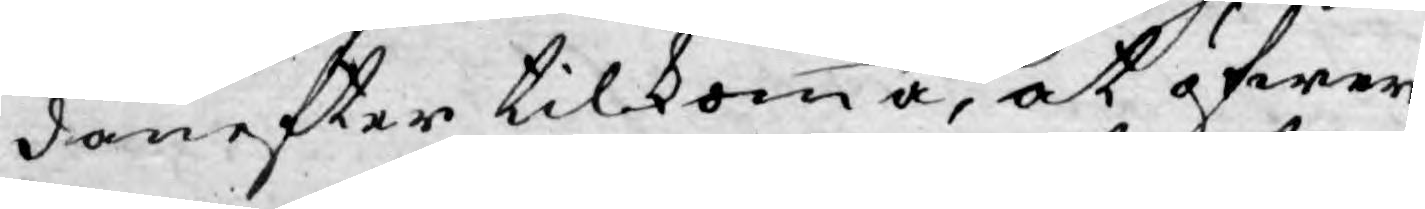danefter tilkomma, at öfwer¬
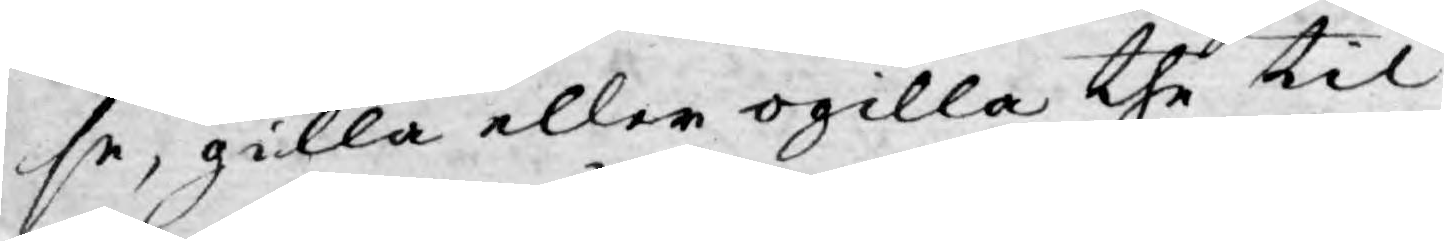se, gilla eller ogilla the til
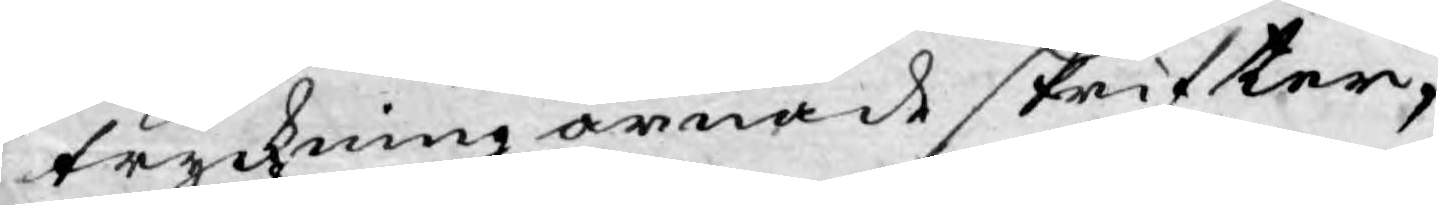tryckning ärnade skrifter,
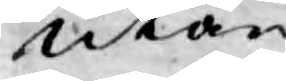utan
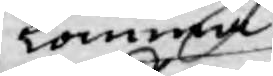komma
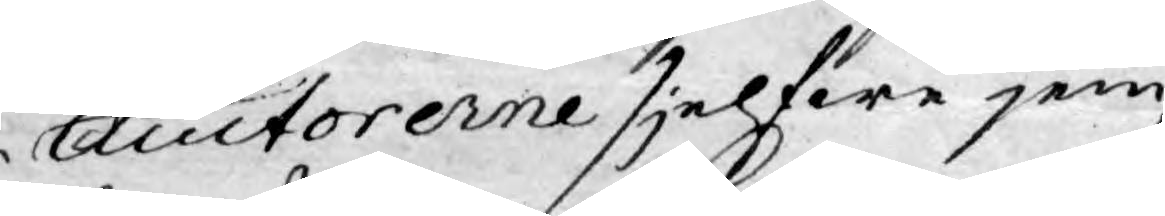Auctorerne sjelfwe jem¬
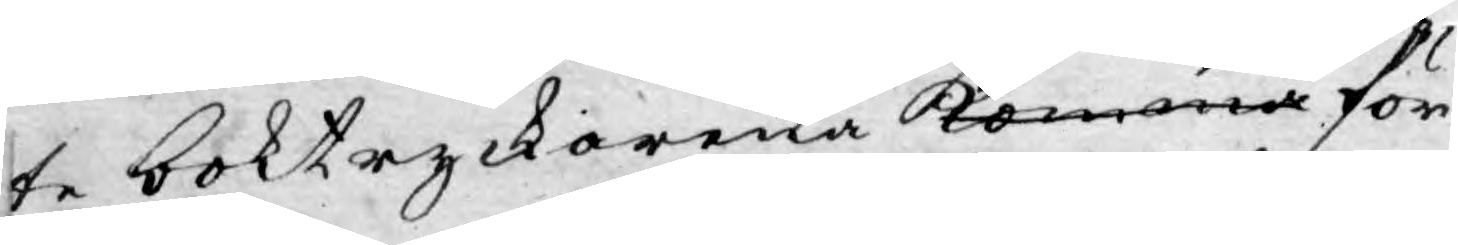te boktryckarena komma för
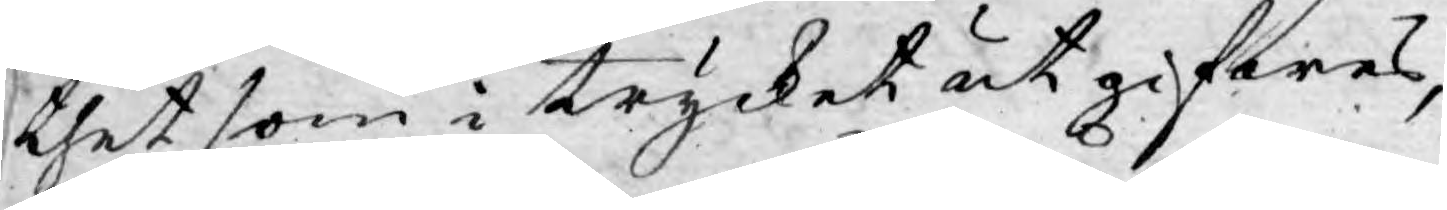thet som i trycket utgifwes,
